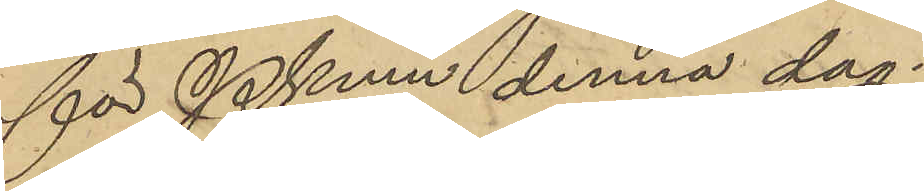för Pkmn denna dag.
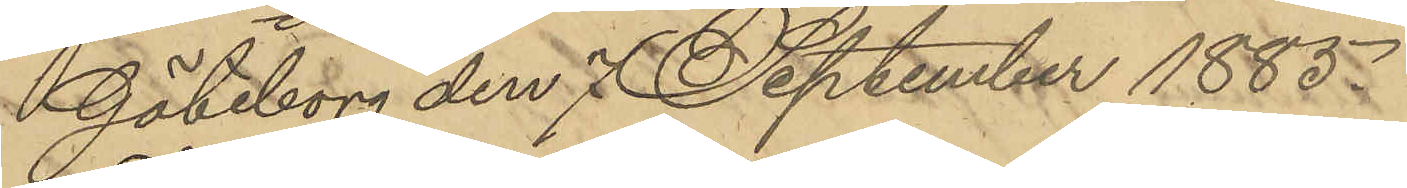Göteborg den 7 September 1885.
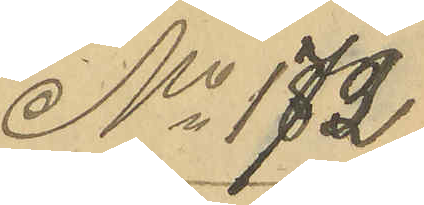No 172
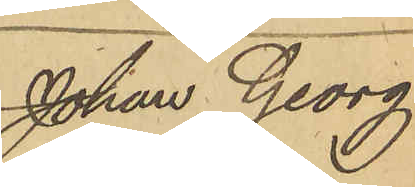Johan Georg
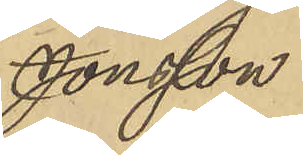Jonsson
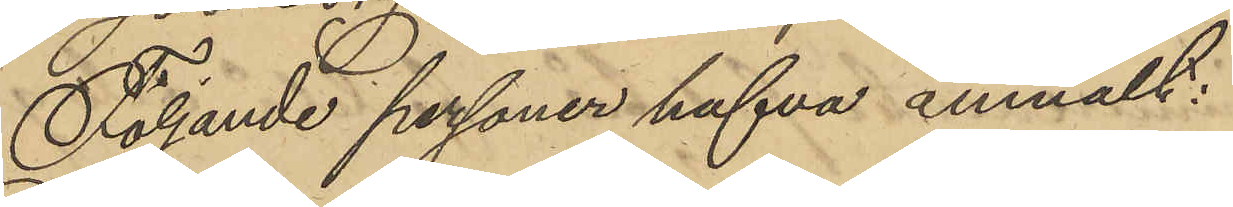Följande personer hafva anmält:
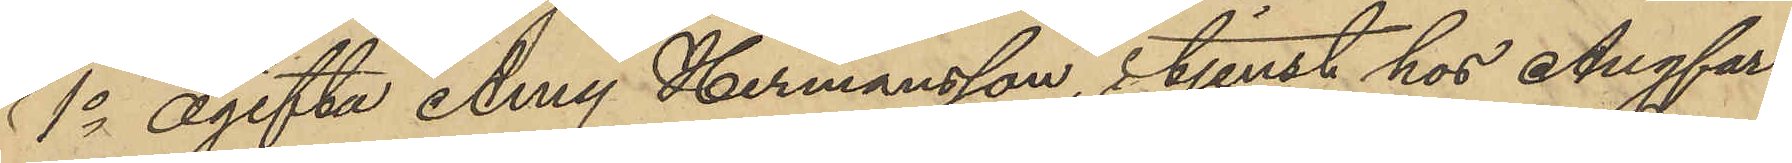1o ogifta Amy Hermansson, i tjenst hos Ångfar¬
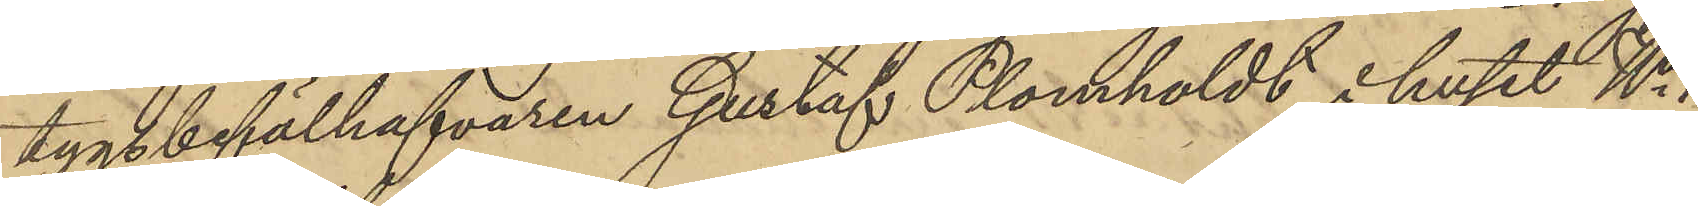tygsbefälhafvaren Gustaf Plomholdt i huset No 1
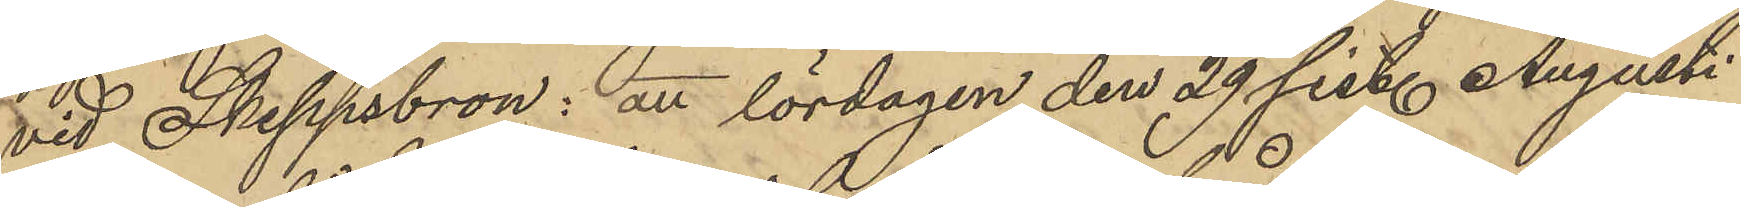vid Skeppsbron: att lördagen den 29 sist. Augusti
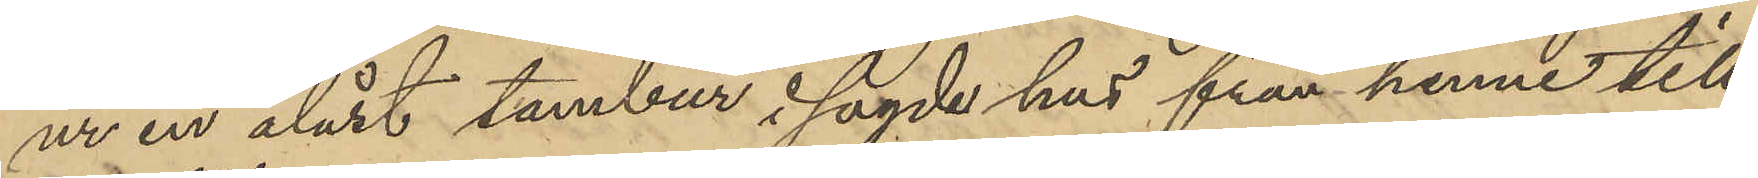ur en olåst tambur i sagde hus från henne till-
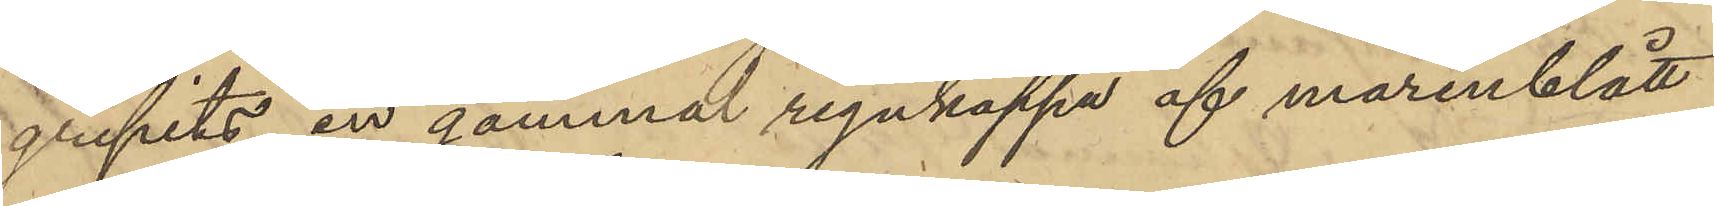gripits en gammal regnkappa af marinblått
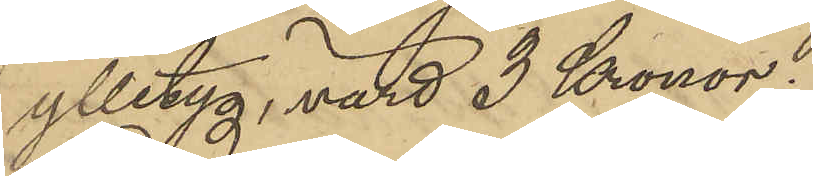ylletyg, värd 3 Kronor;
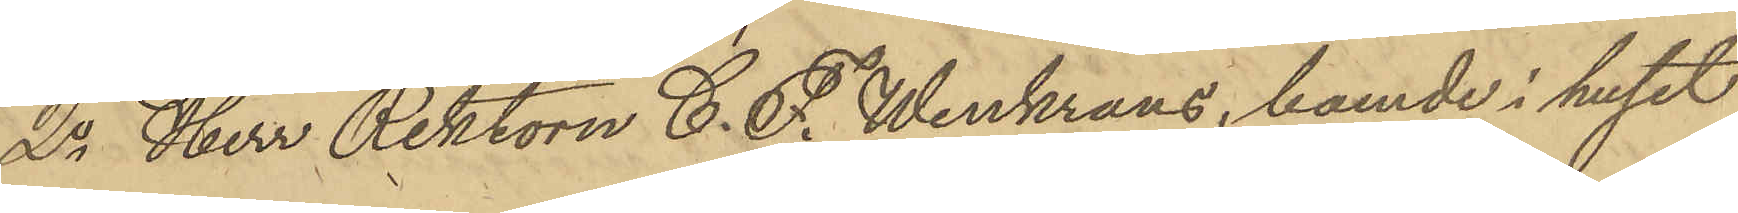2o Herr Rektorn C. P. Winkrans, boende i huset
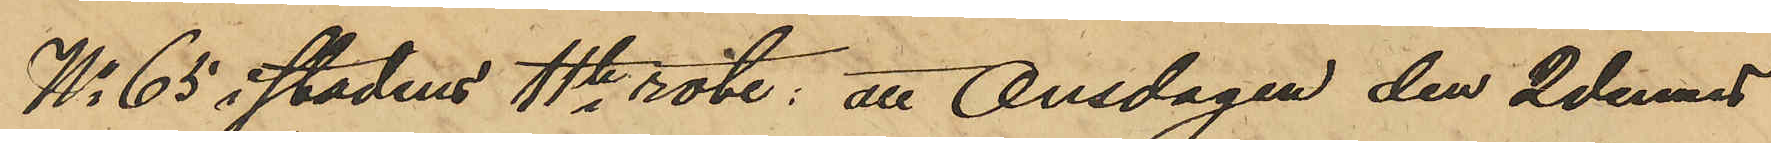No 65 i stadens 4te rote; att Onsdagen den 2 dennes
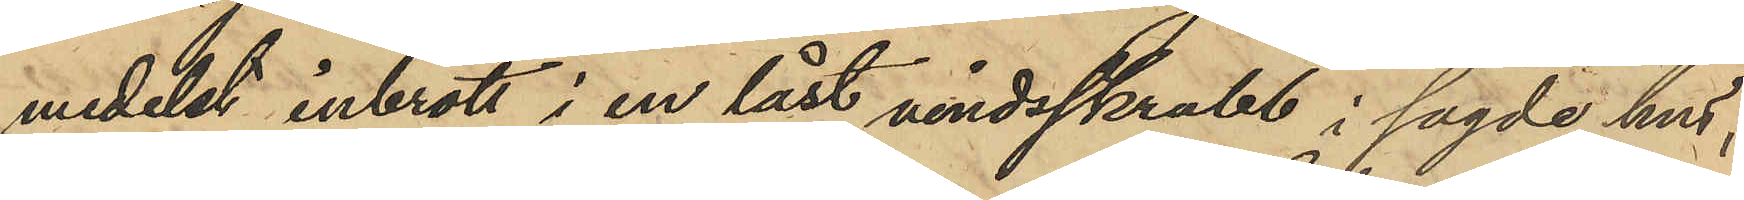medelst inbrott i en låst vindsskrubb i sagde hus,
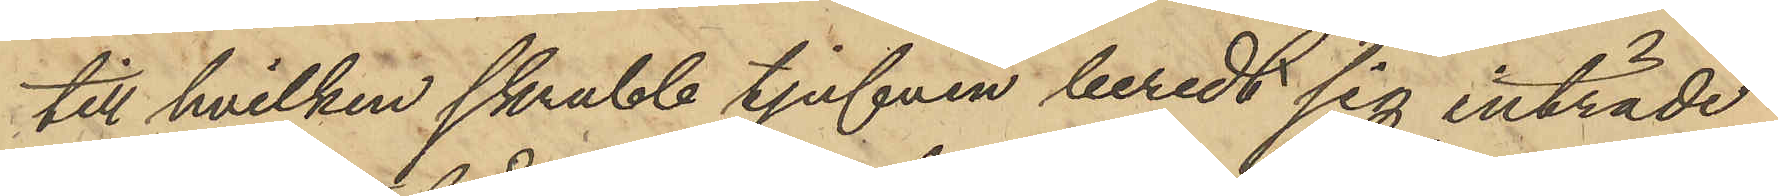till hvilken skrubb tjufven beredt sig inträde
